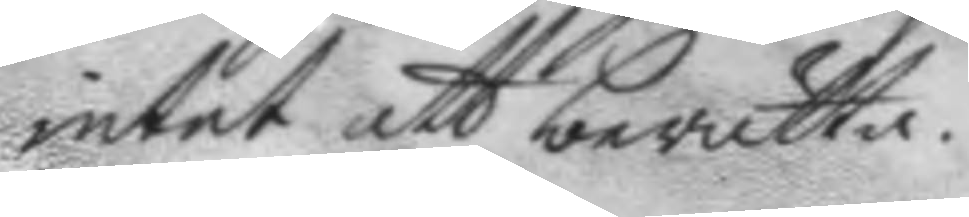intet att berätta.
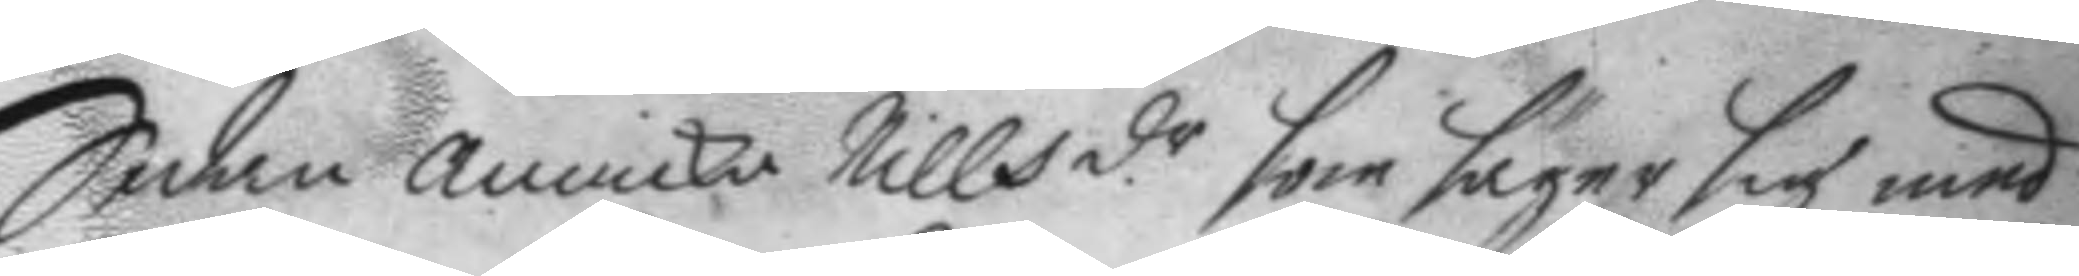Sedan annicka Nills d.r som säger sig med
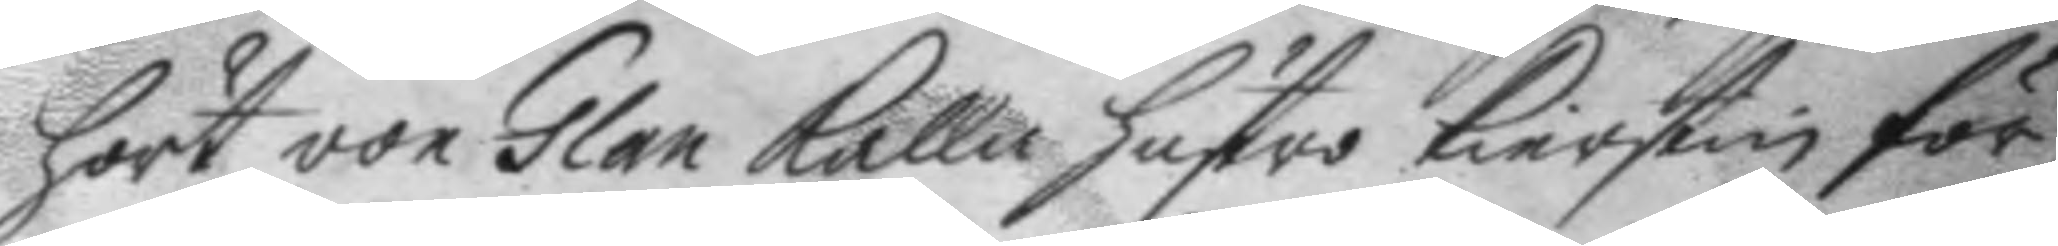hört von Glan Kalla hustro Kierstin för
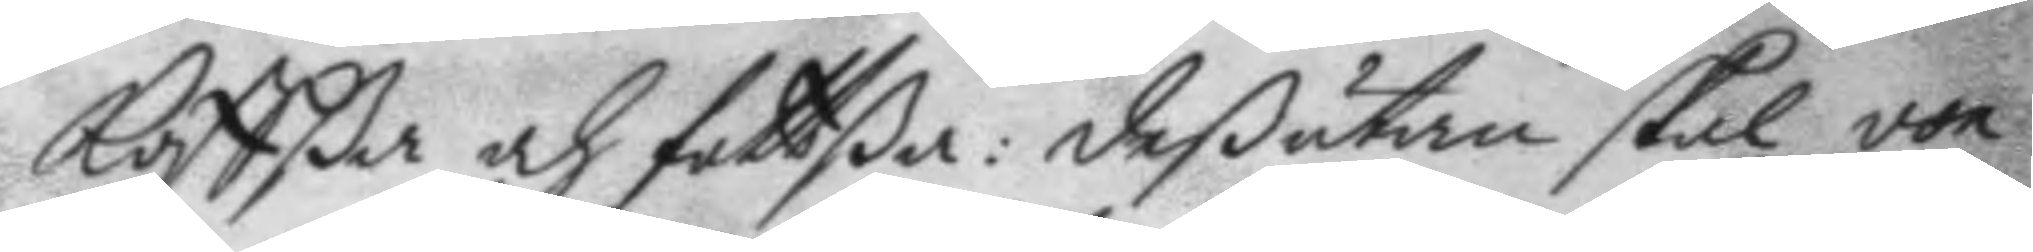Koffßa och fottßa: deßutan skal von
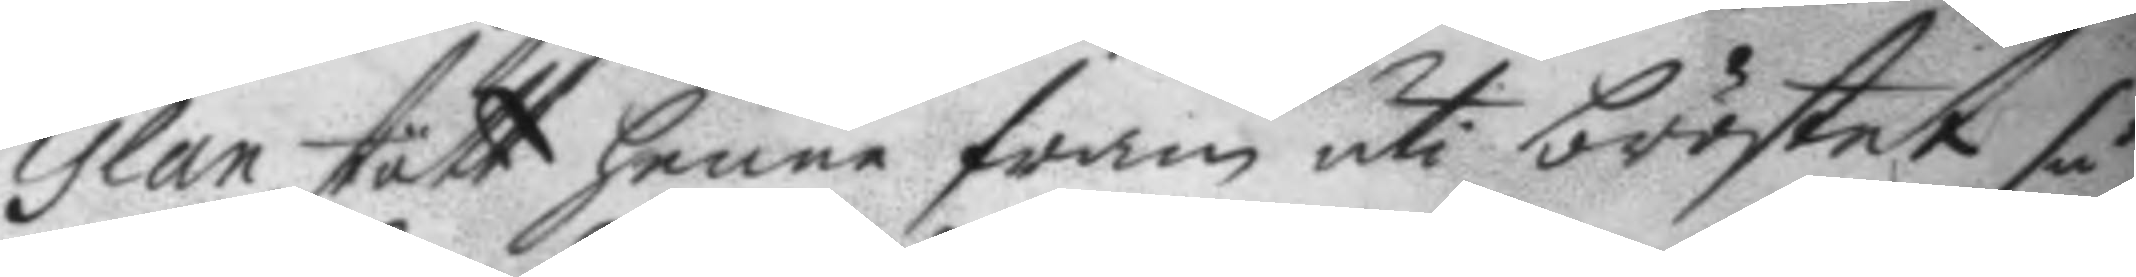Glan stött henne fram uti bröstet så
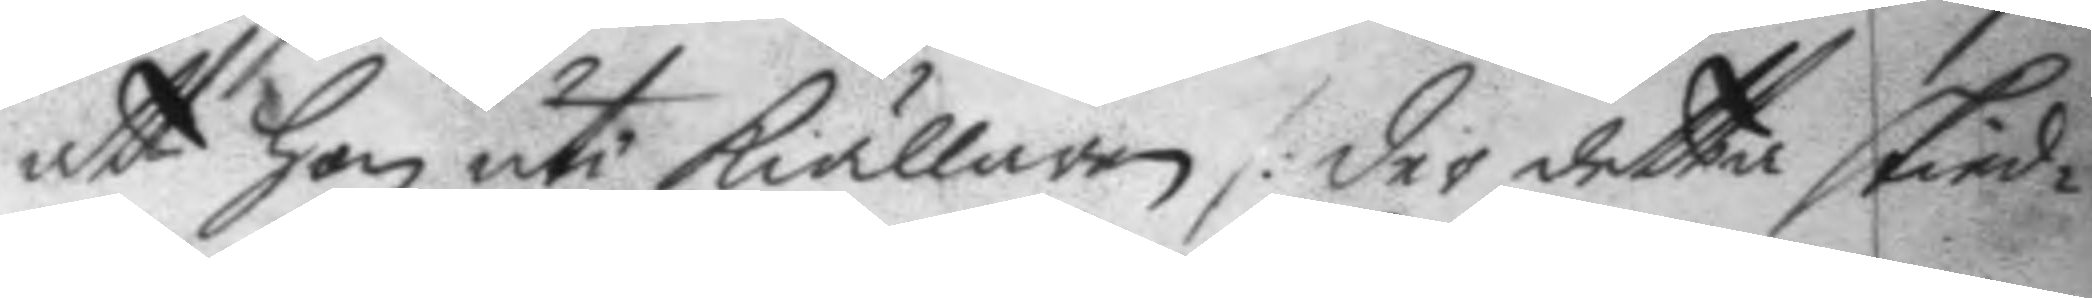att hon uti Kiällaren /: der detta skied¬
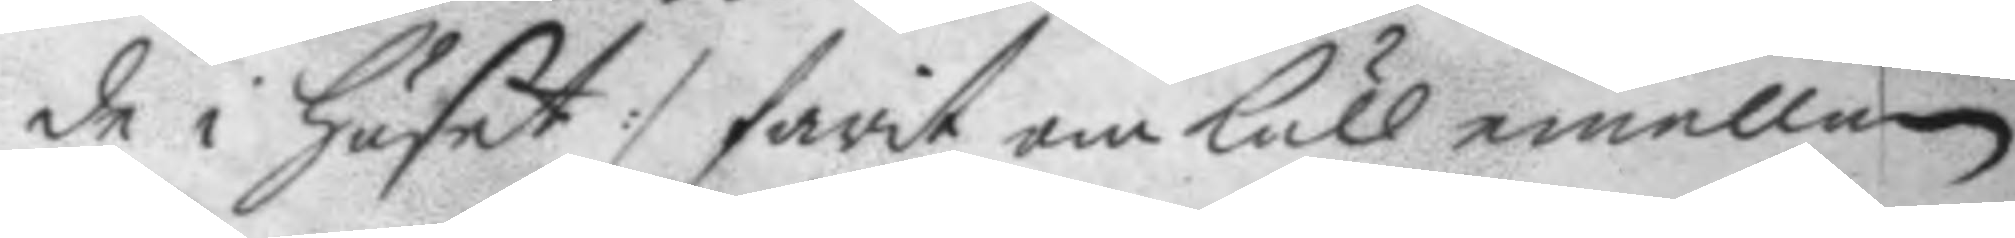de i Huset :/ farit omkull emellan
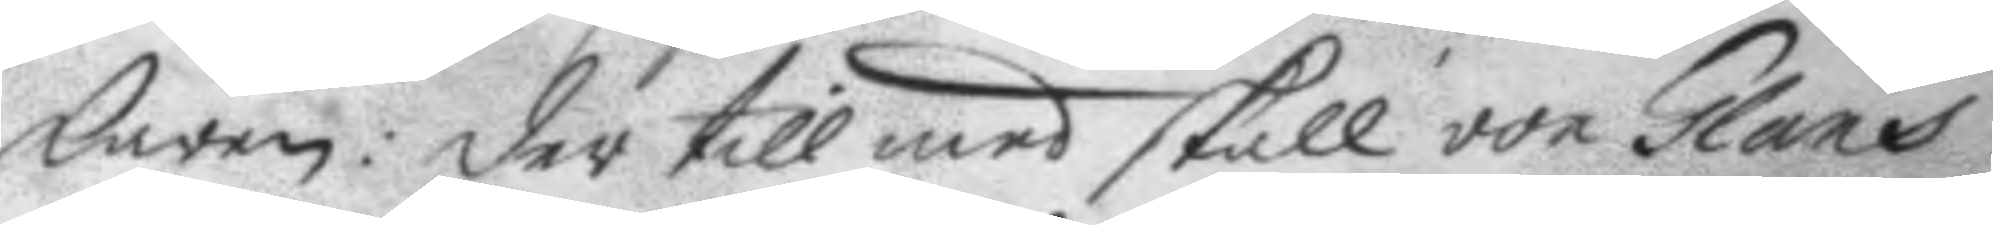karen: der till med skall von Glans
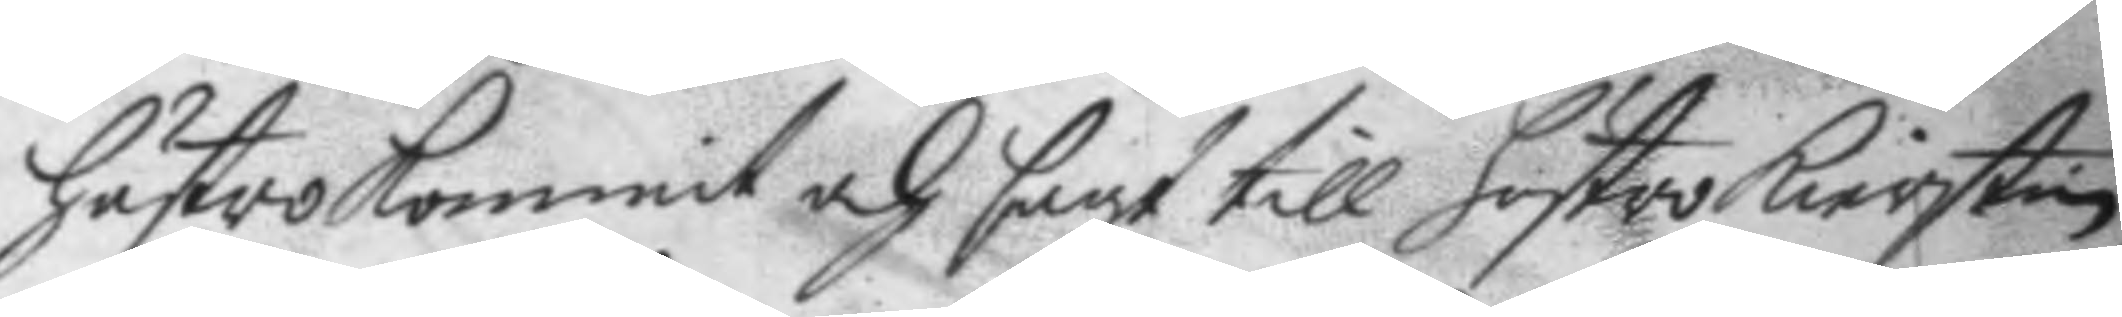hustro Kommit och sagt till hustri Kierstin
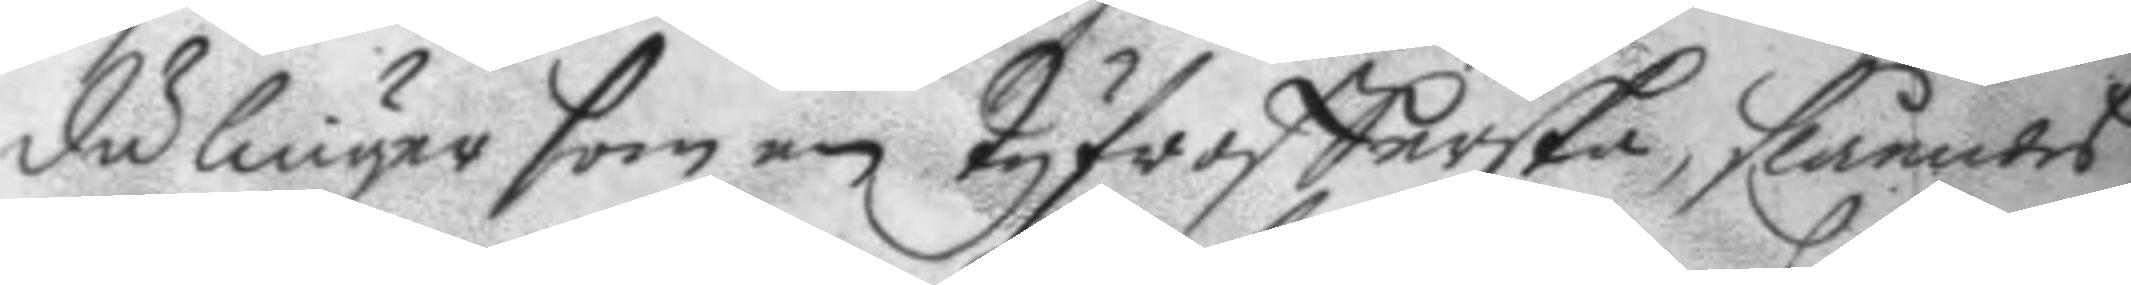du liuger som en tyfrofferska, slåendes
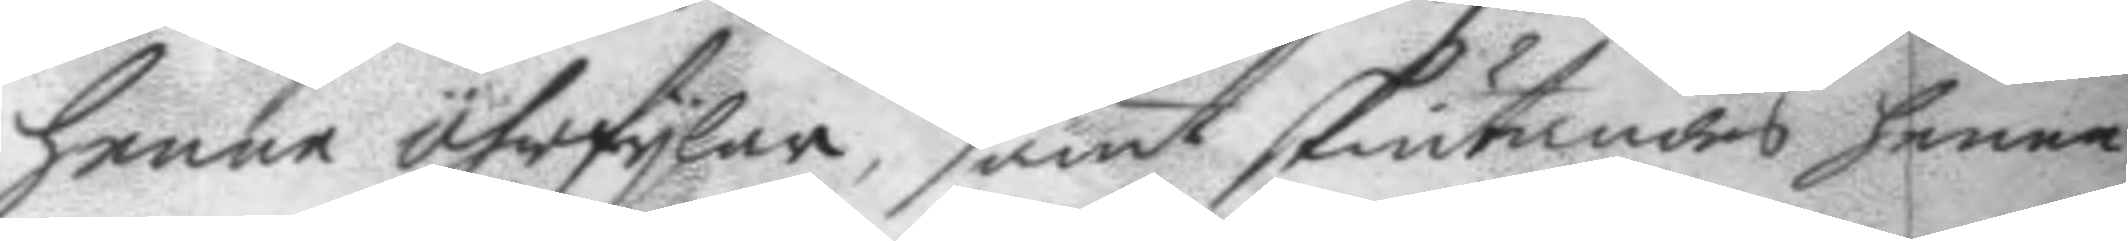henne öhrfylar, samt skiutandes henne
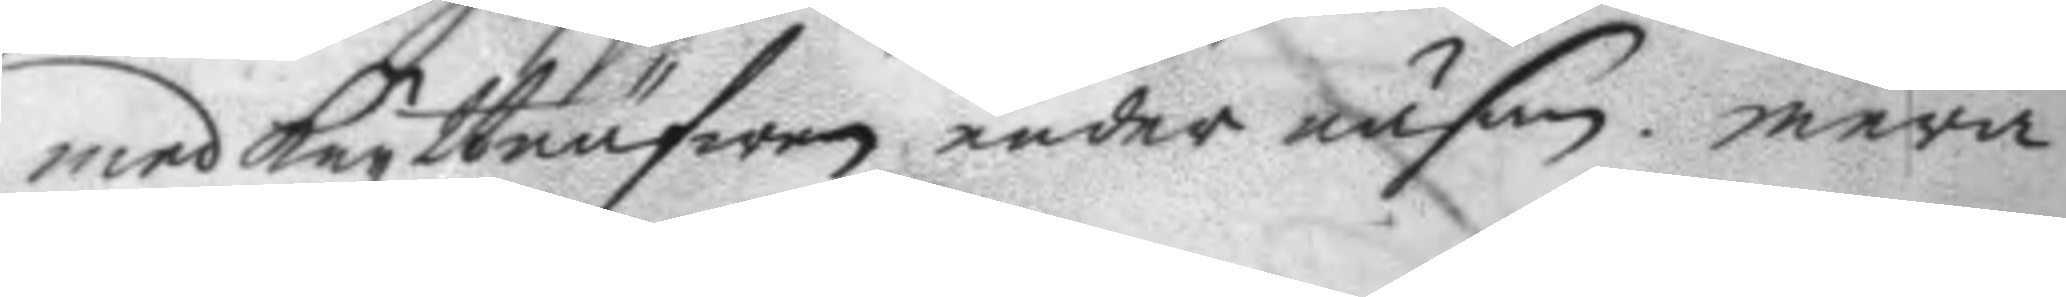med Knytnäfwen under näsan, mera
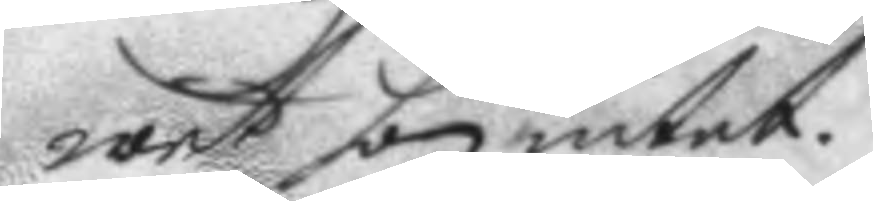wet hon intet.
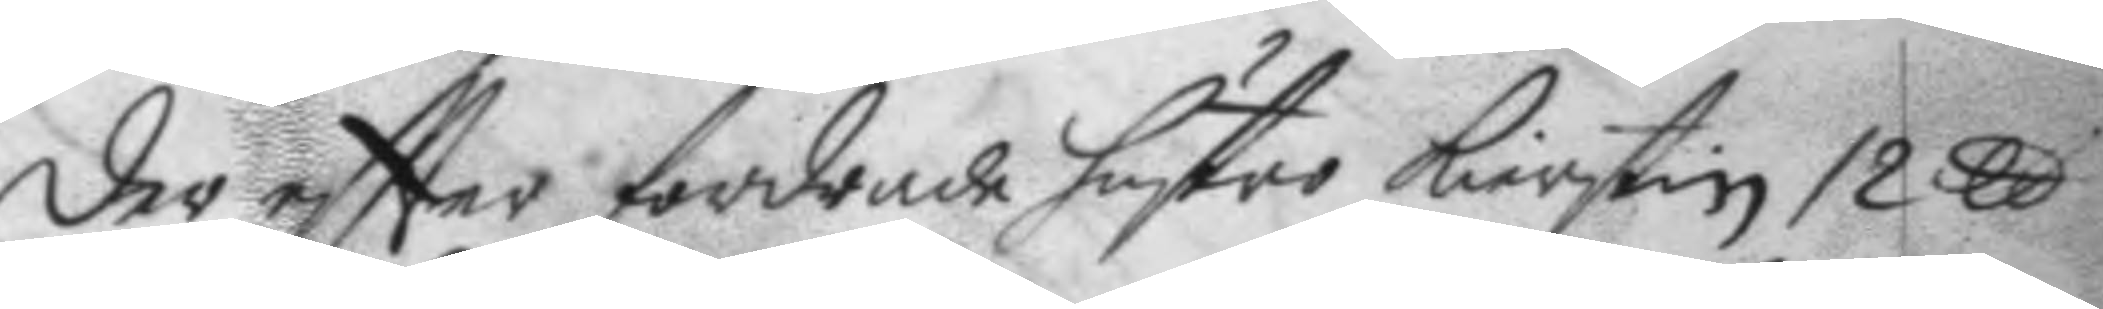Der eftter fordrade hustro Kierstin 12 ll 
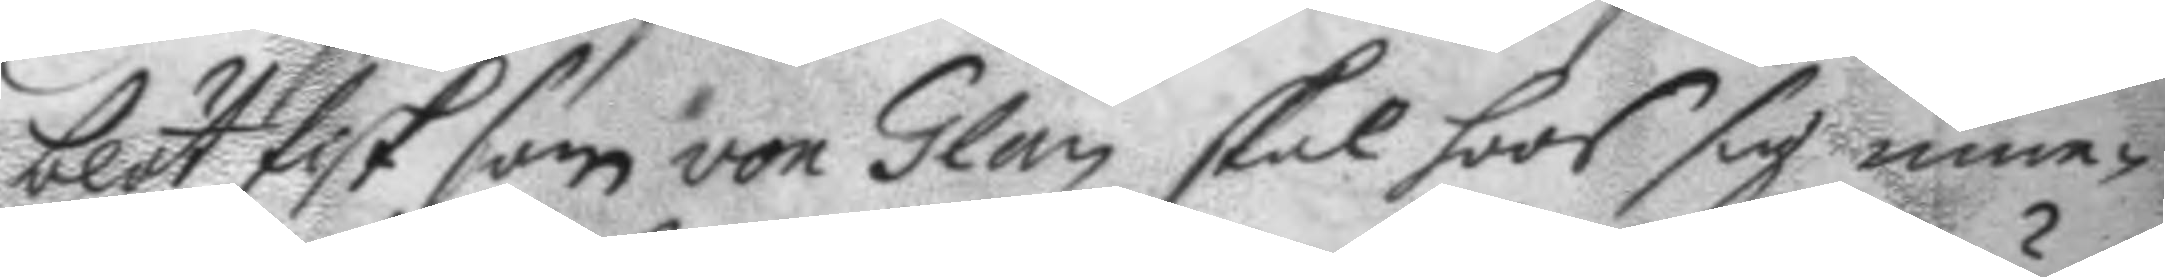blöt fisk som von Glan skal hoos sig inne¬
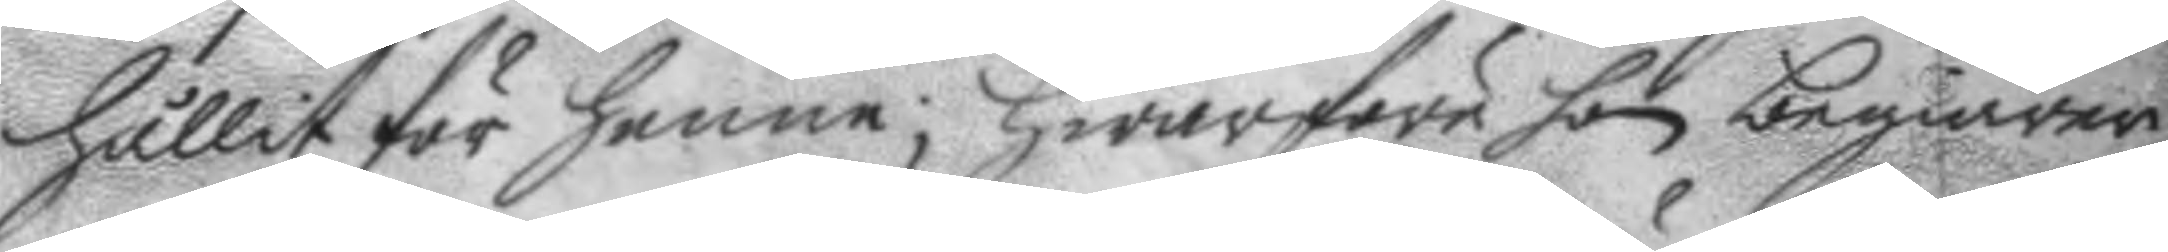hållit för henne; Hwarföre hon begiären
